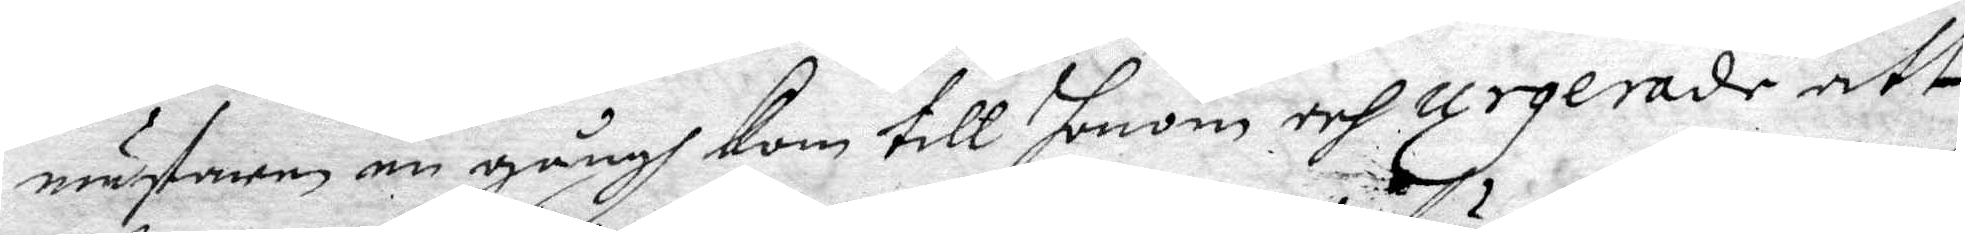mästaren en gångh Kom till honom och urgerade att
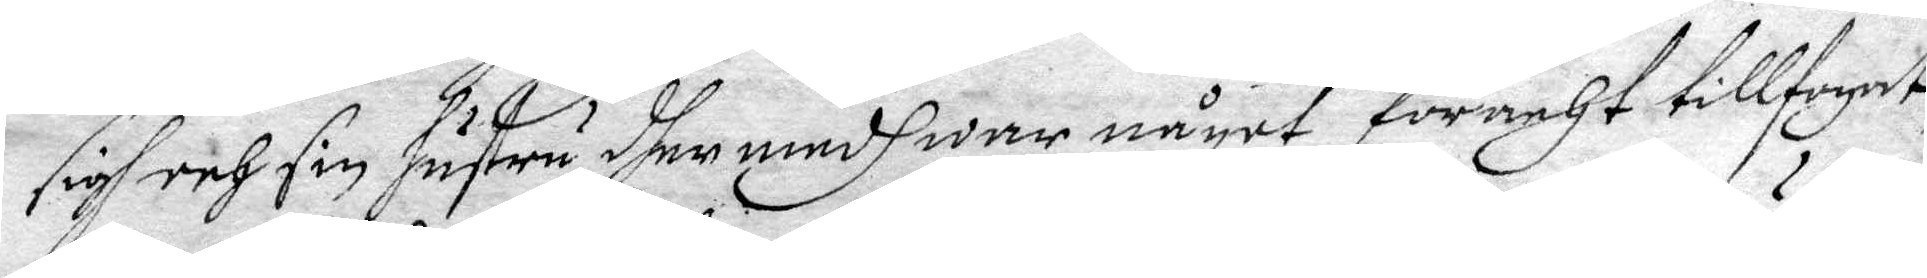sigh och sin hustru dher medh war något föracht tillfogat,
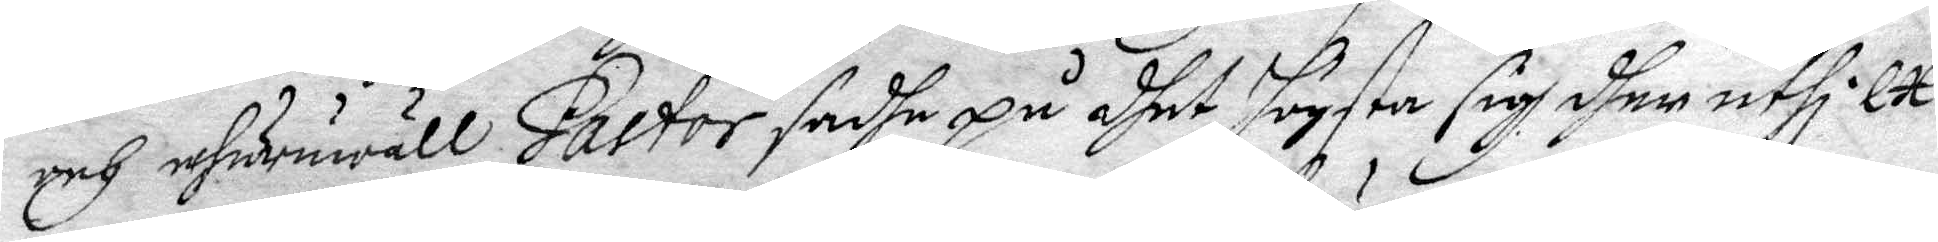och ehuruwäll Pastor sadhe på dhet högsta sig dher uthi Ex¬
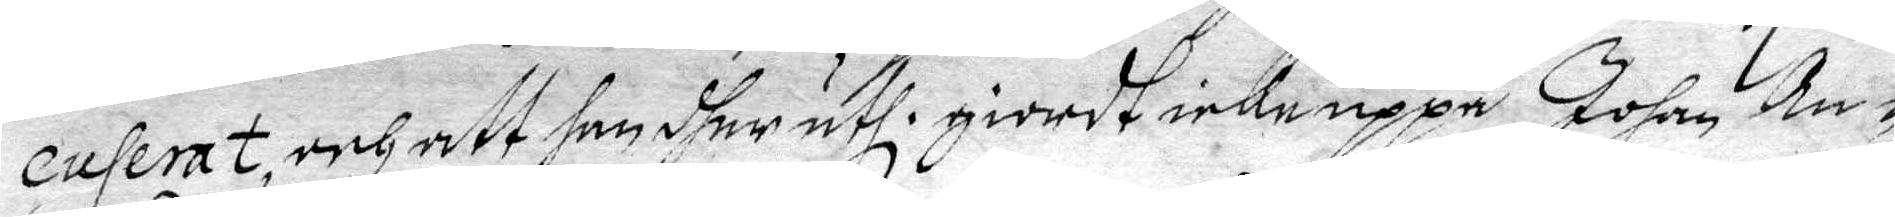cuserat, och att han dher uthi giordt icke uppå Johan An¬
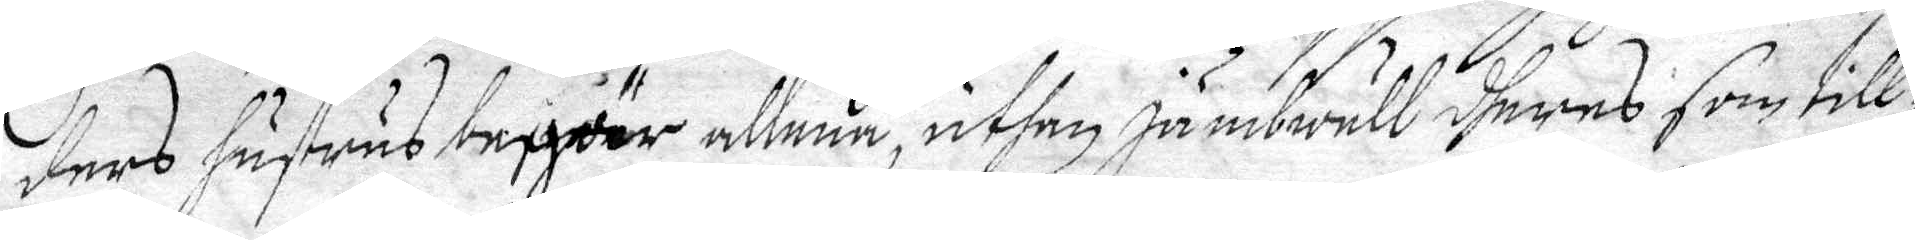ders Hustrus begiär allena, uthan jämbwäll dheras som till
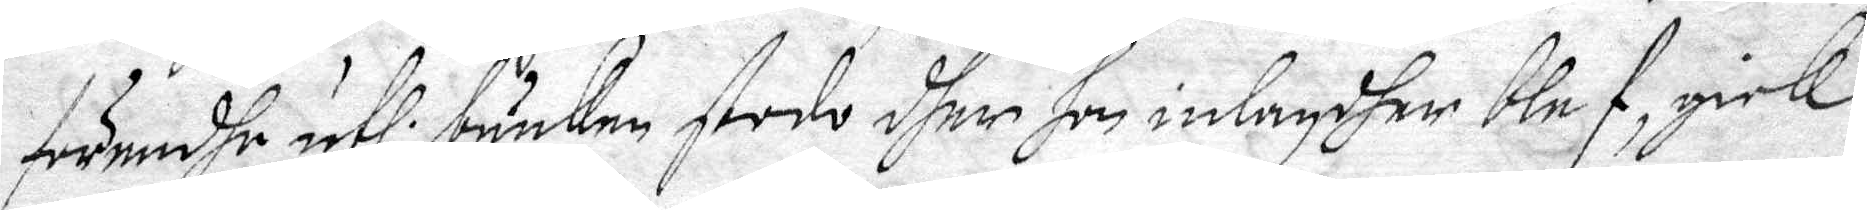förendhe ufhi bänken stodo dher hon inlagdher blef, gick
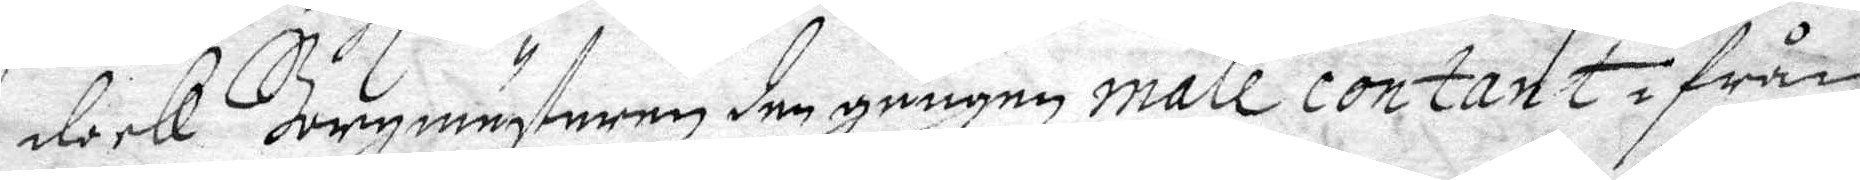dock Borgmästaren den gången male contant ifrån
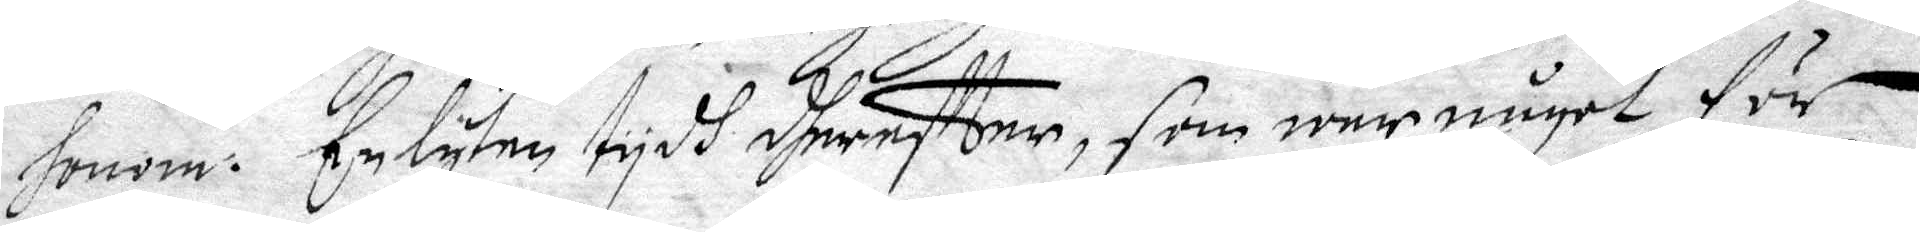honom. En lyten tydh dhereffter, som war något för
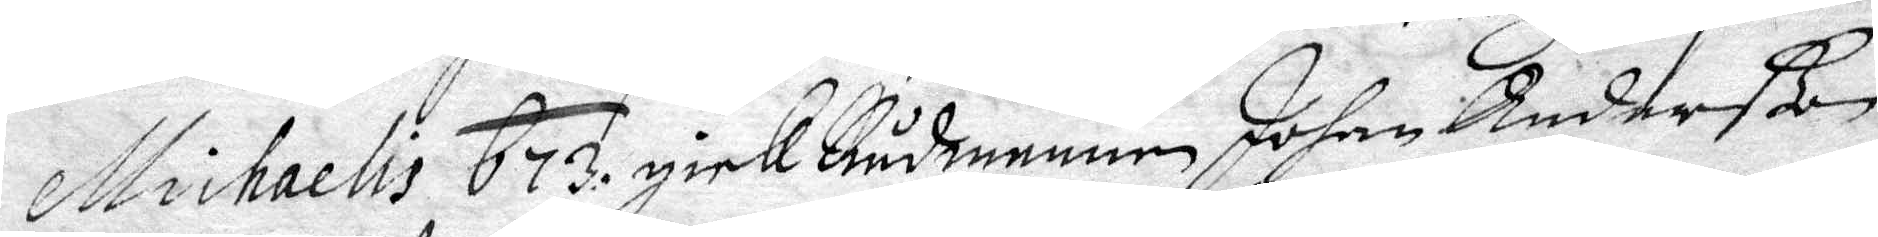Michaelis 673. gick Rådmannen Johan Anderßon
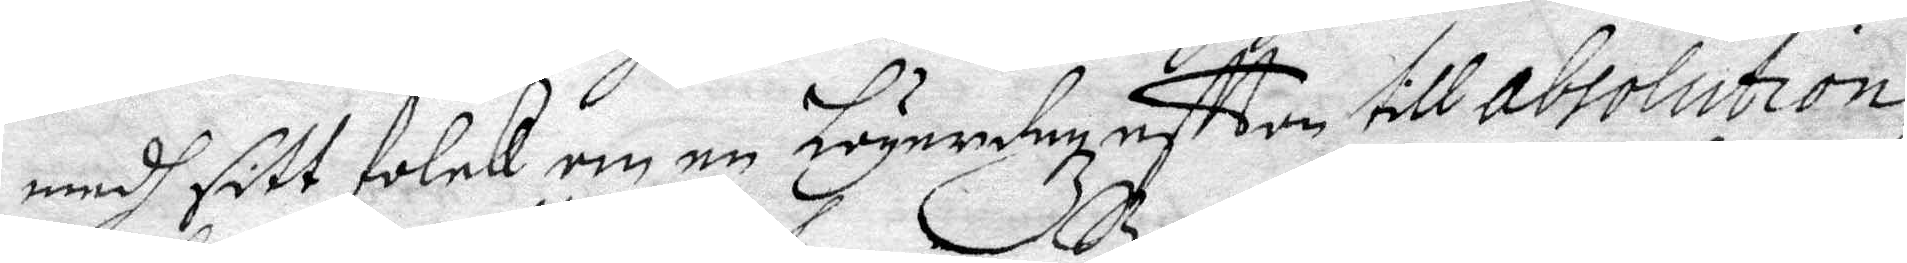medh sitt folck om en Lögerdagzaffton till absolution
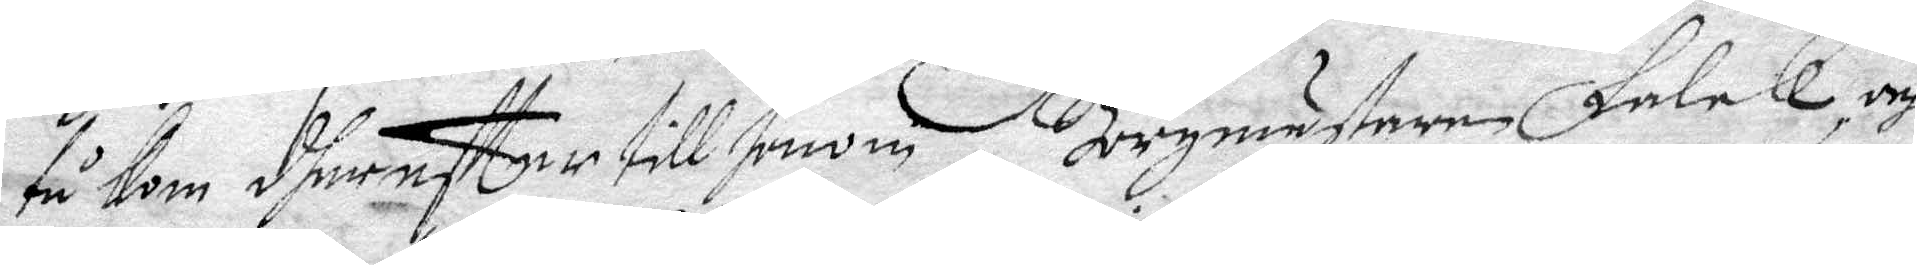tu kom dherefter till honom, Borgmästeren Falck, och
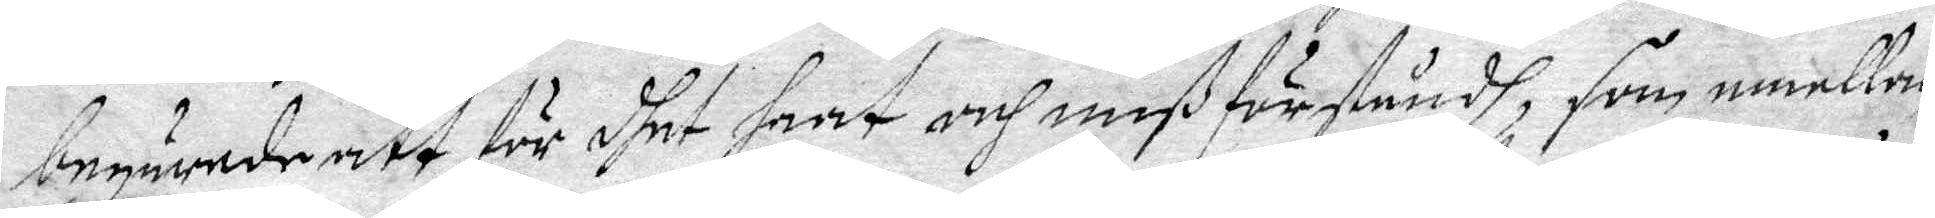begärande att för dhet haat och mißförståndh, som emellan
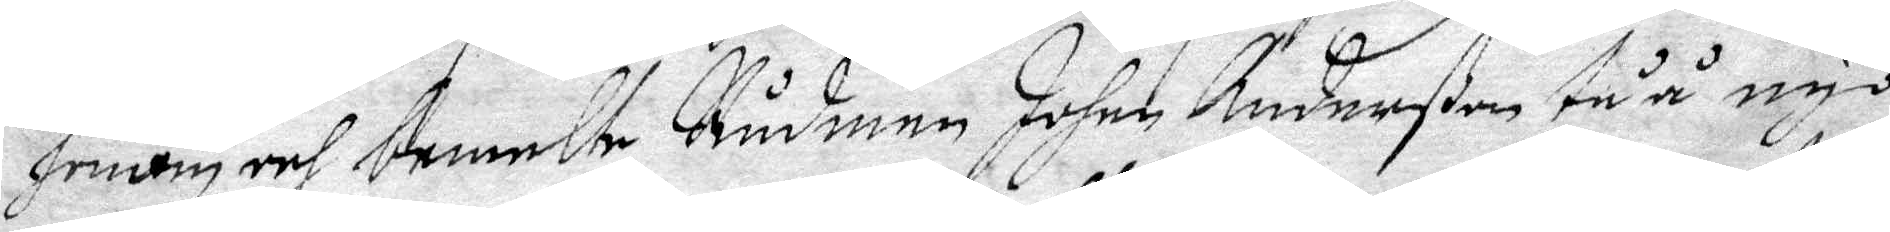honom och bemelte Rådman Johan Anderßon tåå nyo
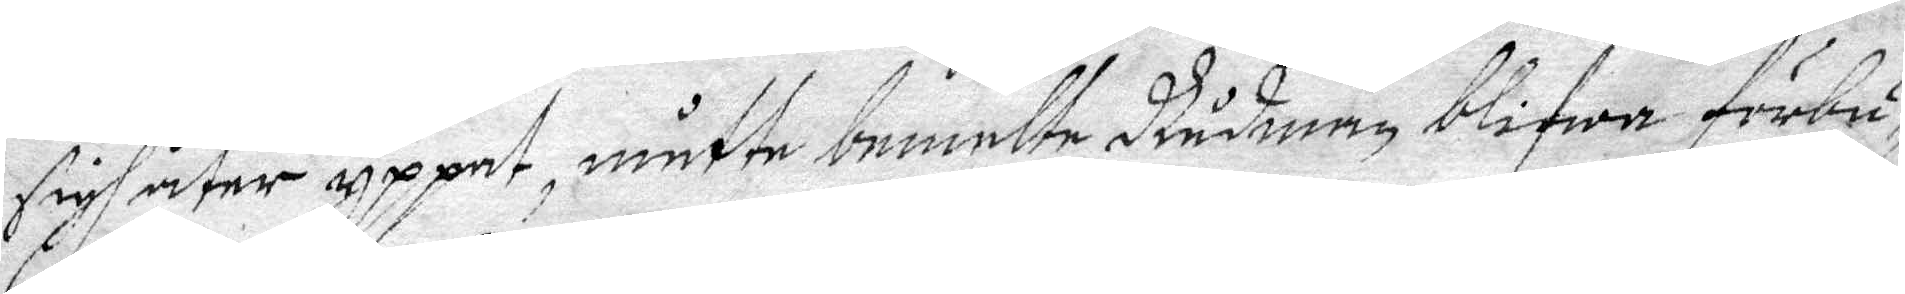sigh åter yppat, måtte bemelte Rådman blifwa förbu¬
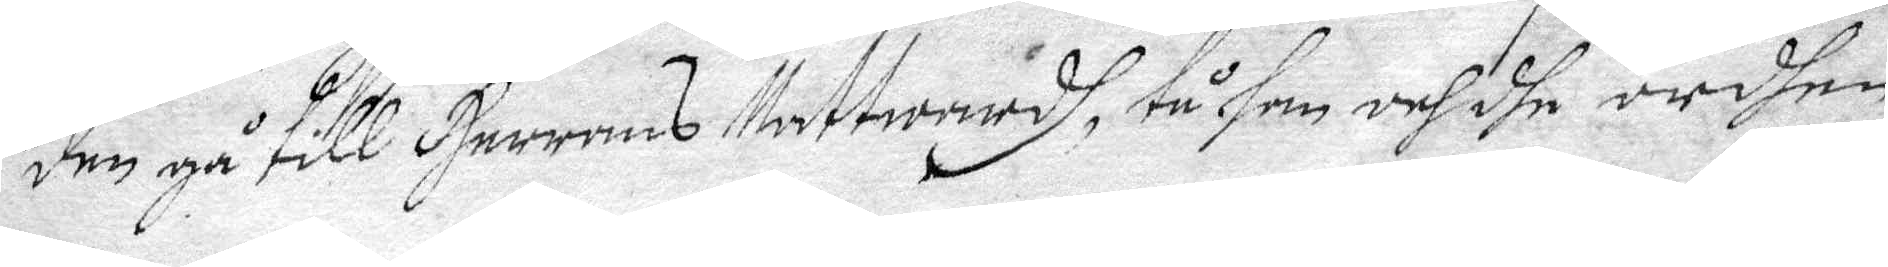den gå till Herrens Nattwardh, tu han och dhe ordhen
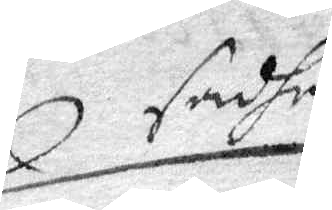sadhe
